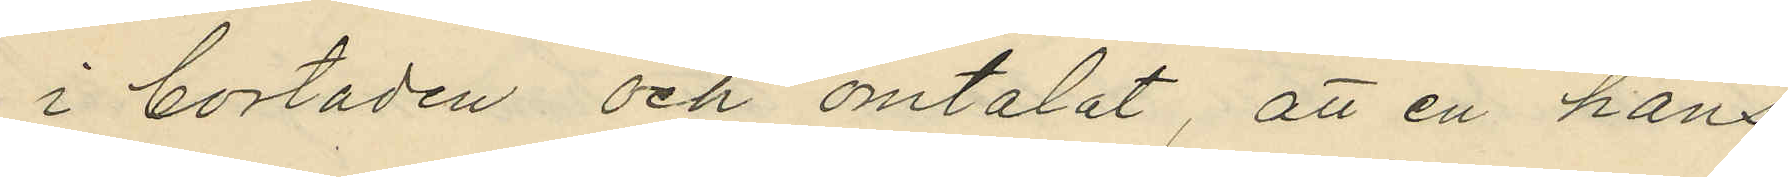i bostaden och omtalat, att en hans
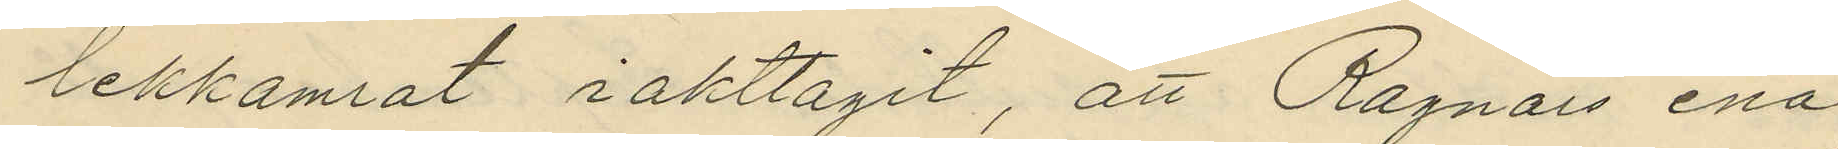lekkamrat iakttagit, att Ragnars ena
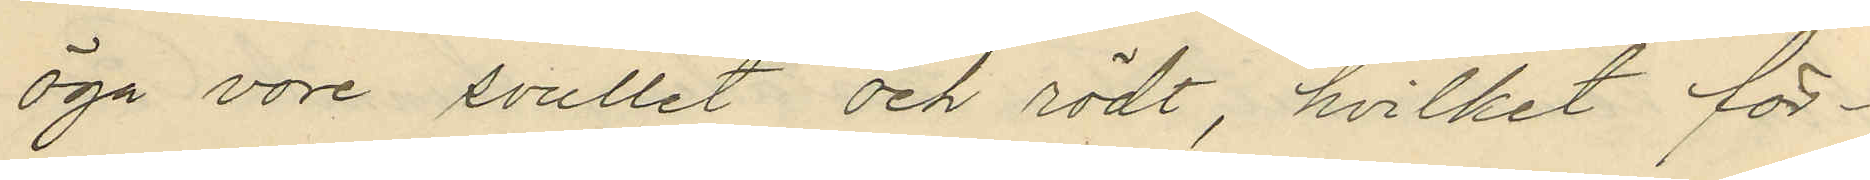öga vore svullet och rödt, hvilket för¬
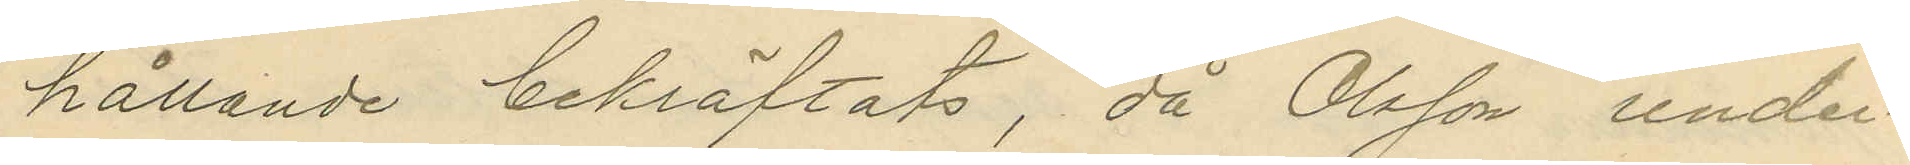hållande bekräftats, då Olsson under¬
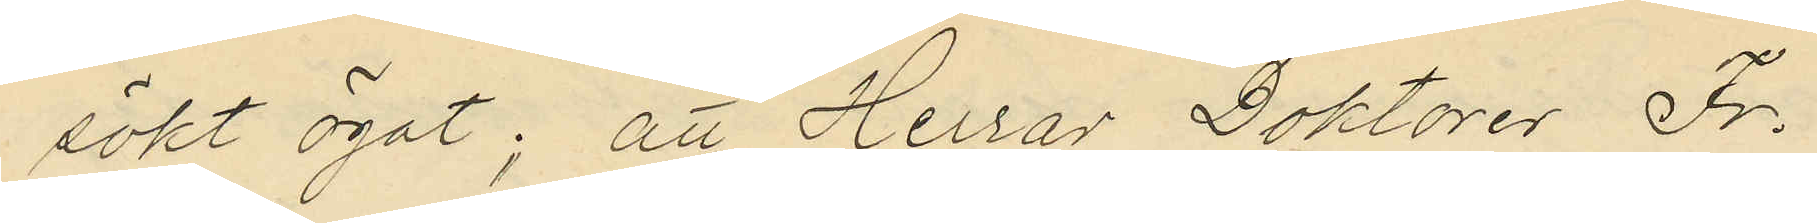sökt ögat; att Herrar Doktorer Fr.
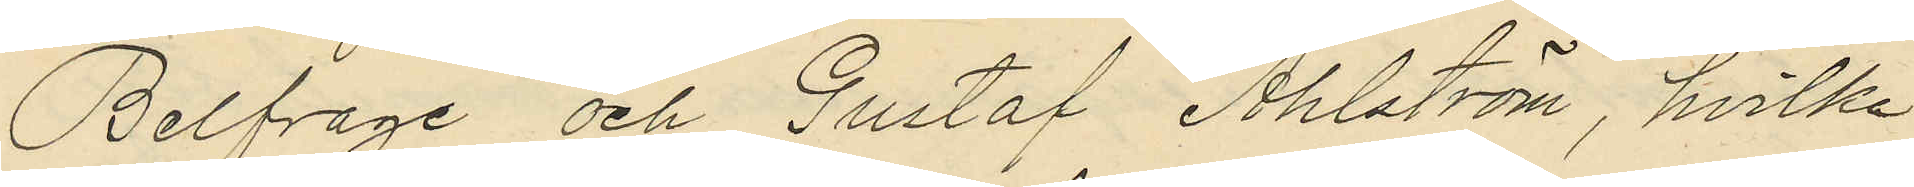Belfrage och Gustaf Ahlström, hvilka
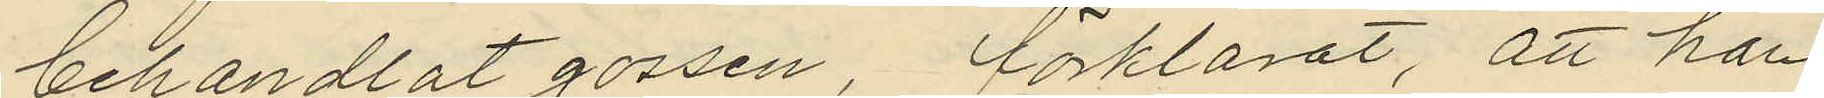behandlat gossen förklarat, att han
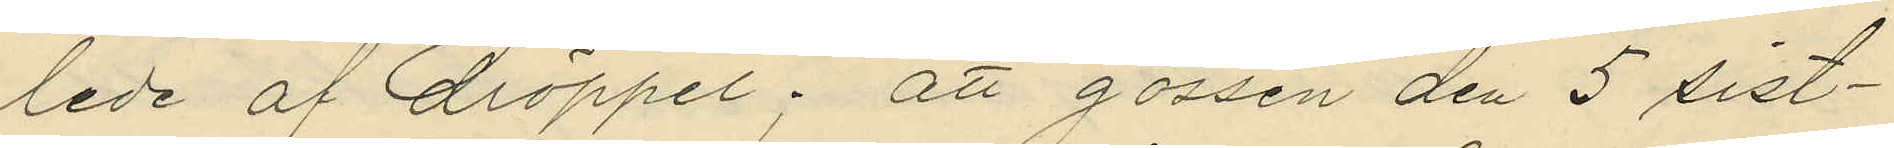lede af dröppel; att gossen den 5 sist¬
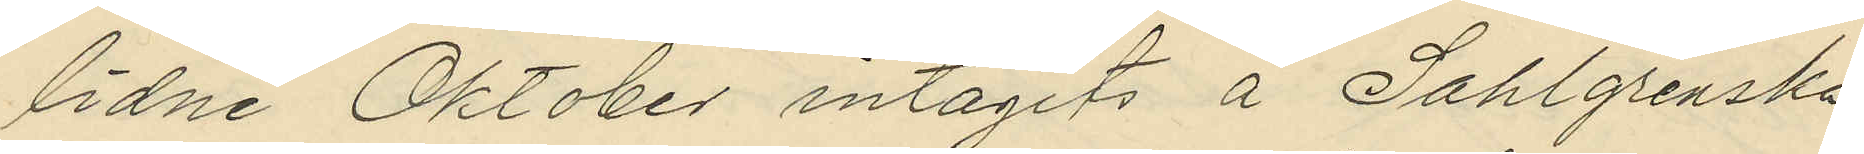lidne Oktober intagits å Sahlgrenska
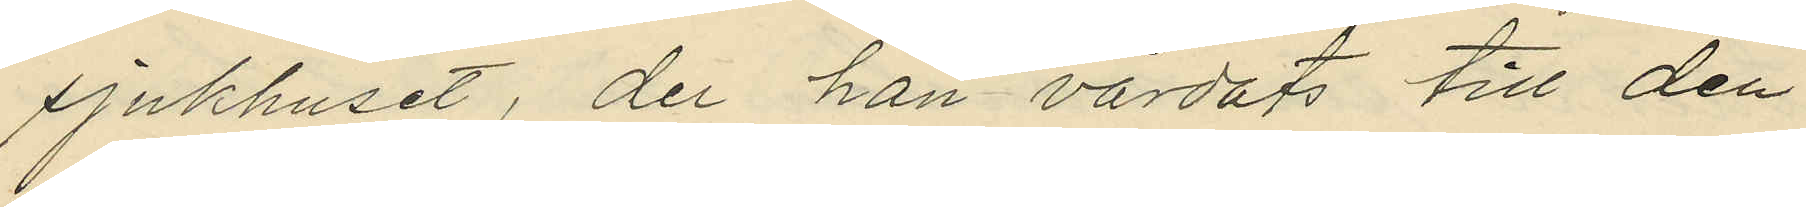sjukhuset, der han vårdats till den
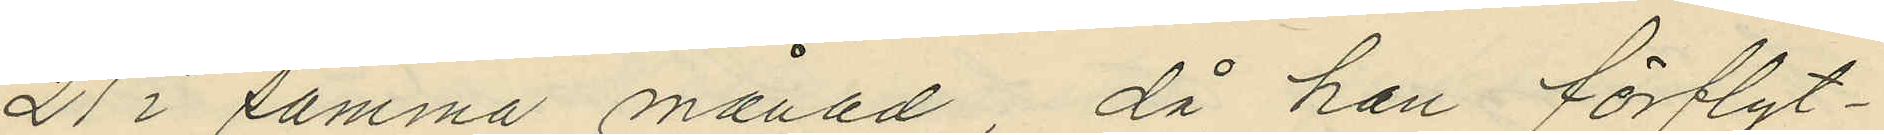21 i samma månad, då han förflyt¬
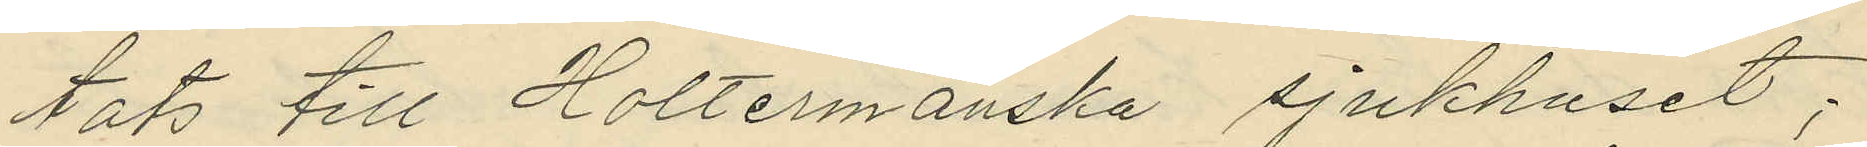tats till Holtermanska sjukhuset;
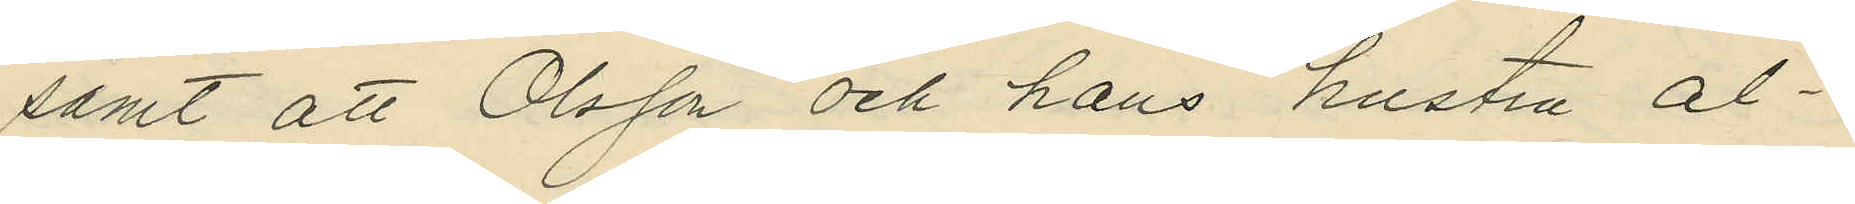samt att Olsson och hans hustru al¬
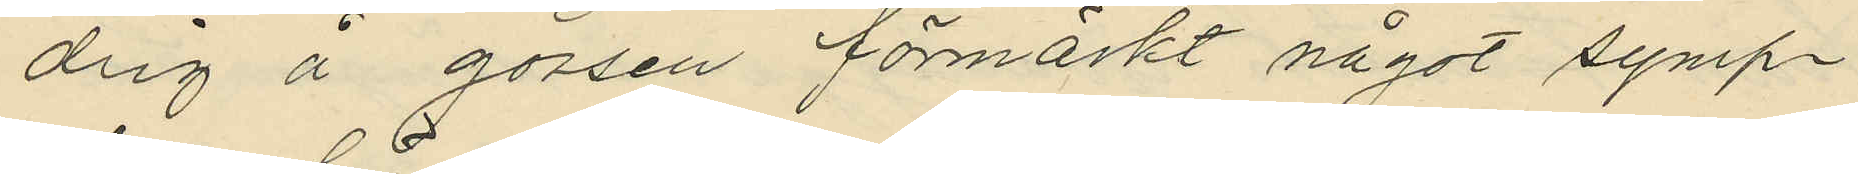drig å gossen förmärkt något symp¬
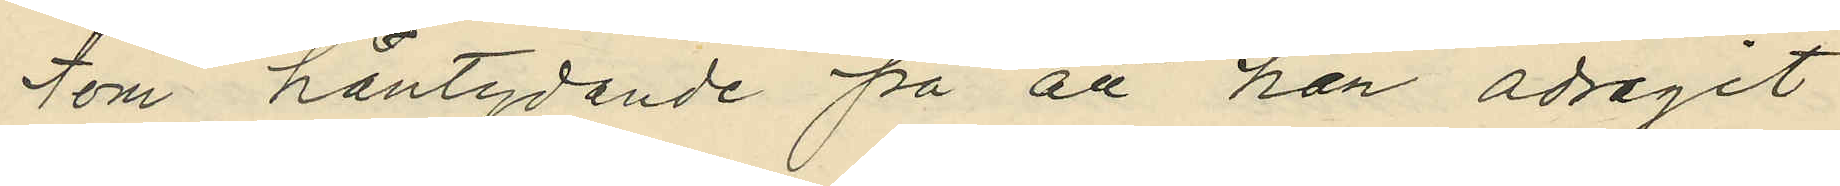tom häntydande på att han ådragit
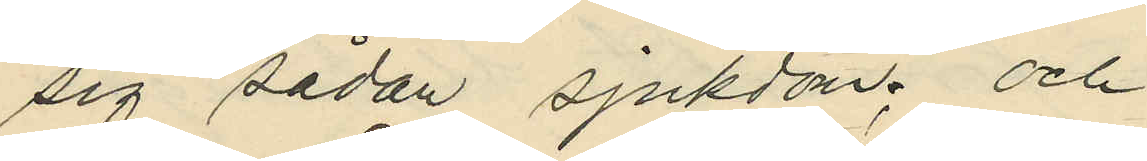sig sådan sjukdom; och
